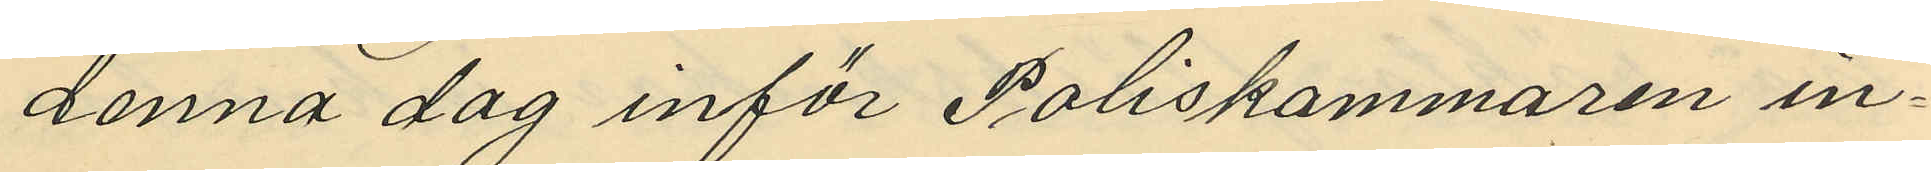denna dag inför Poliskammaren in¬
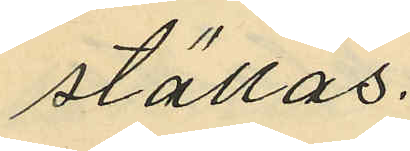ställas.
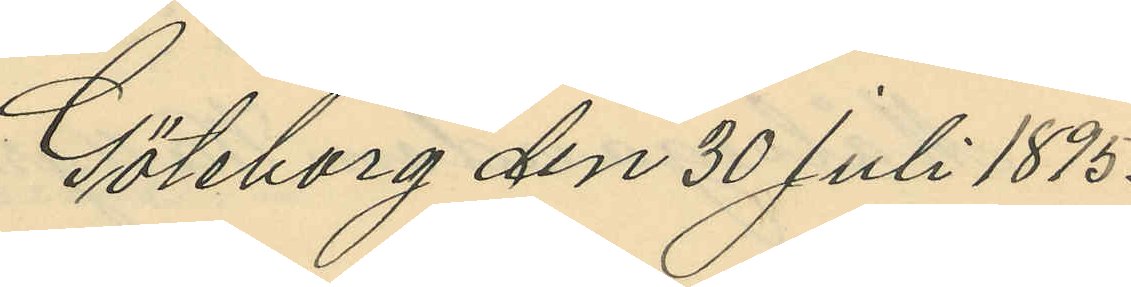Göteborg den 30 Juli 1895.
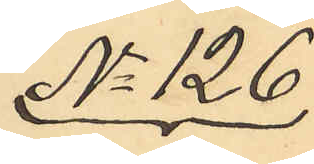No 126
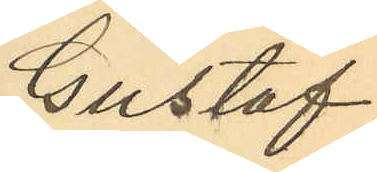Gustaf
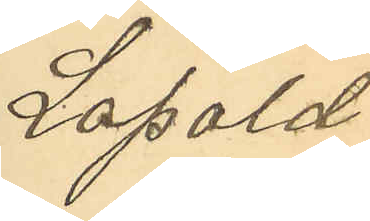Leopold
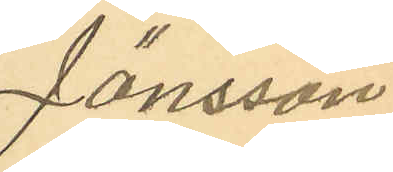Jönsson
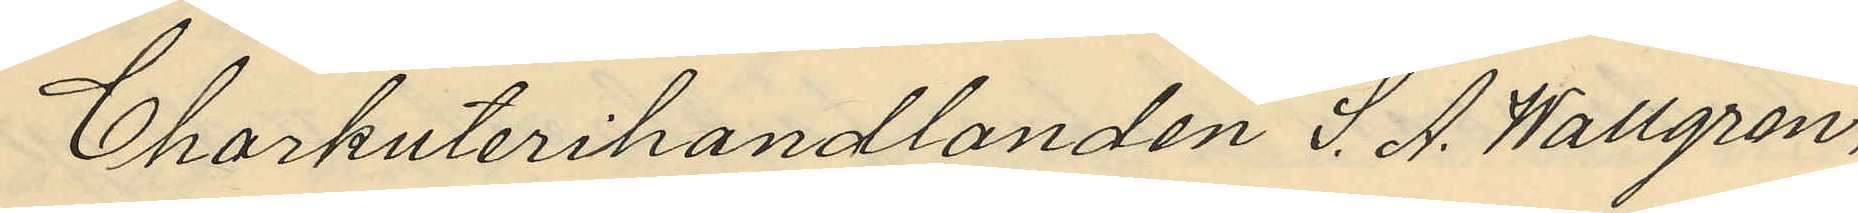Charkuterihandlanden S. A. Wallgren,
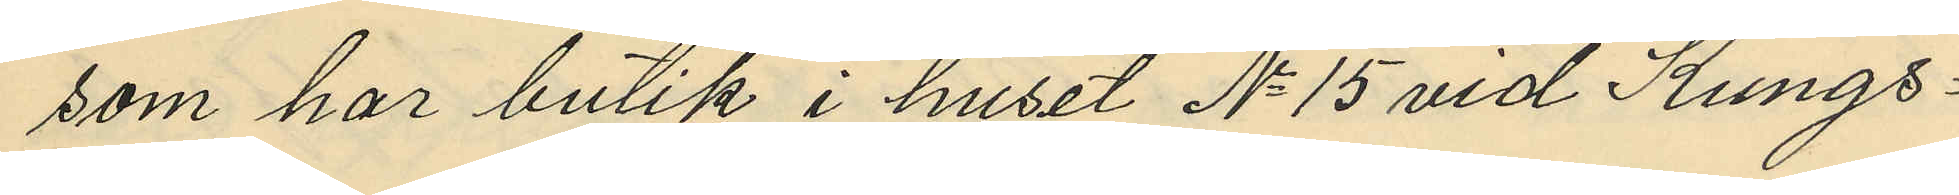som har butik i huset No 15 vid Kungs¬
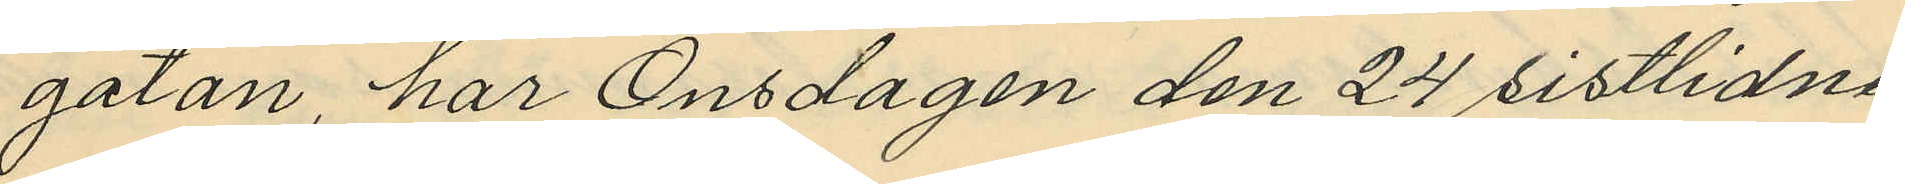gatan, har Onsdagen den 24 sistlidne
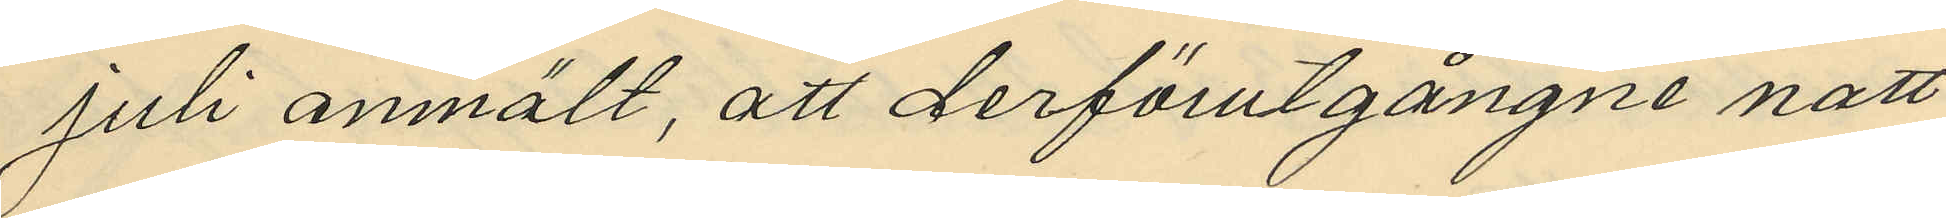Juli anmält, att derförutgångne natt
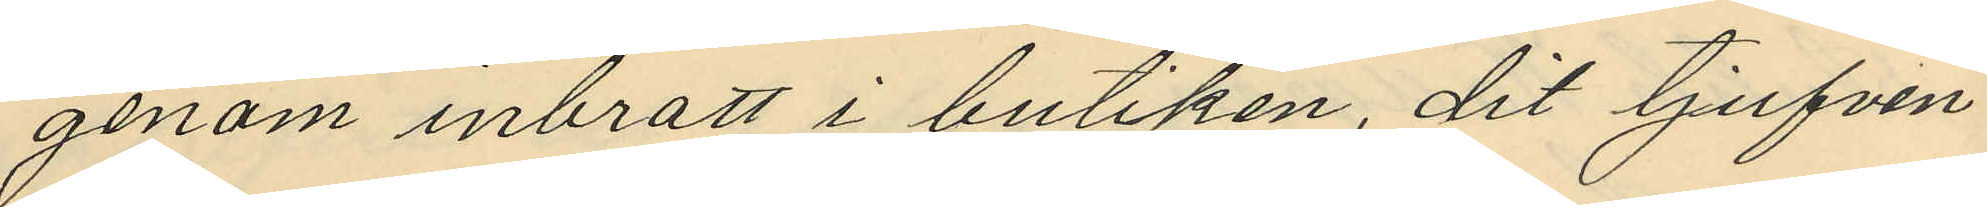genom inbrott i butiken, dit tjufven
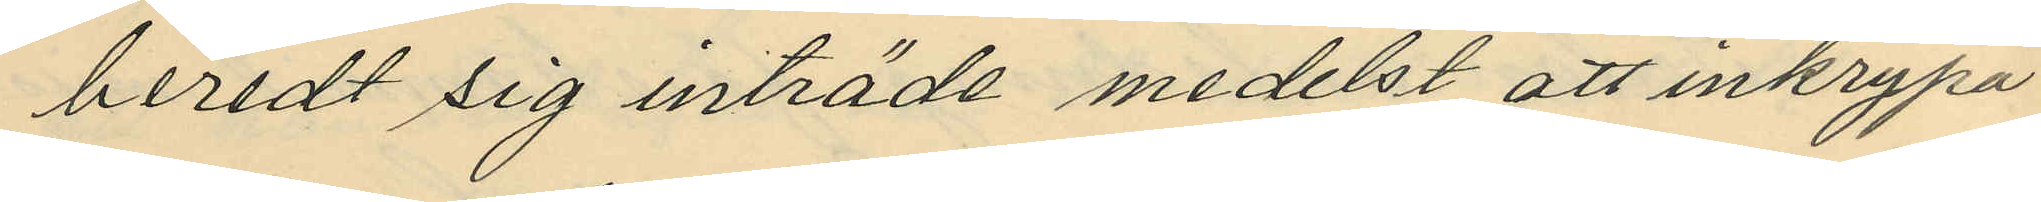beredt sig inträde medelst att inkrypa
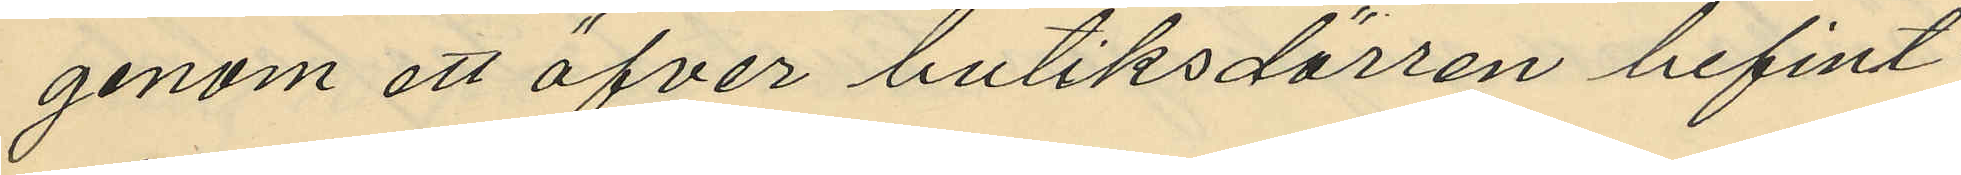genom ett öfver butiksdörren befint¬
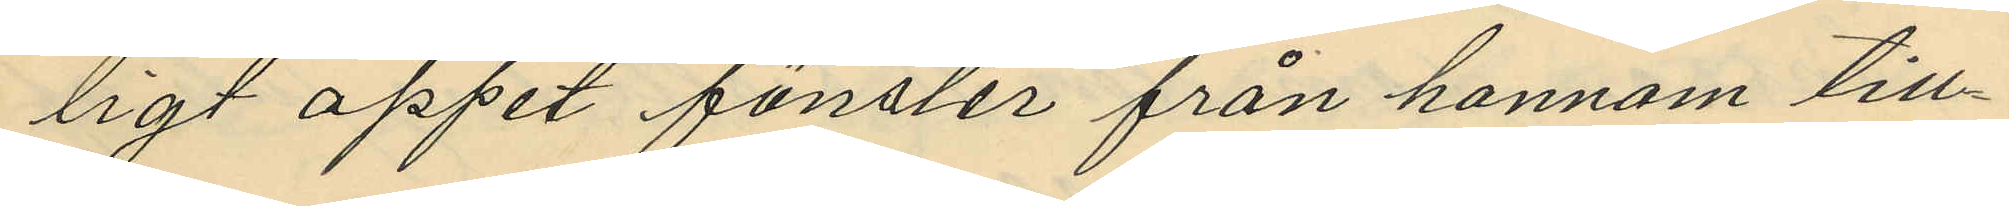ligt öppet fönster från honnom till¬
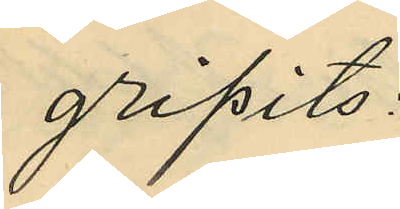gripits:
